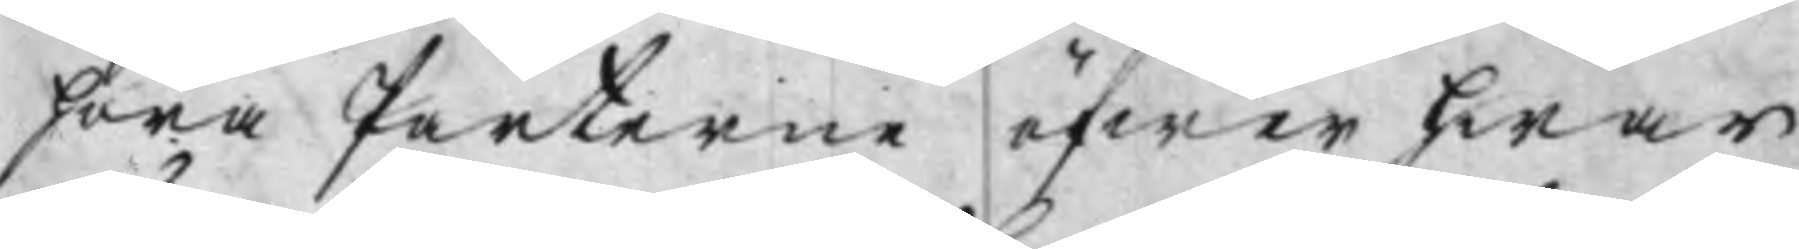föra Parterne öfwer hwar
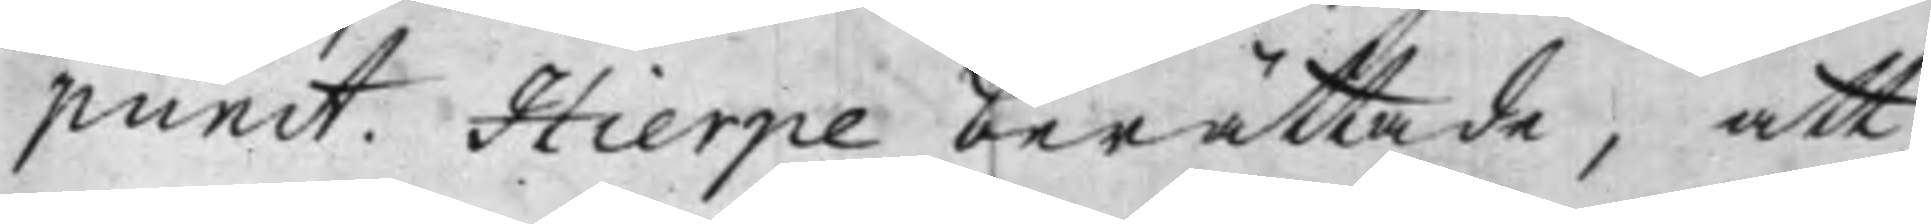punct. Hierpe berättade, att
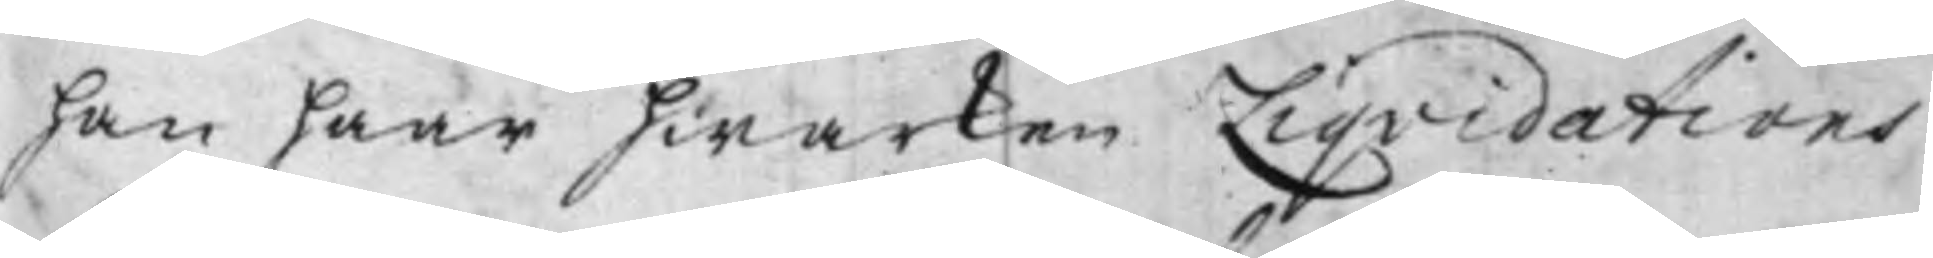han haar hwarken Liqvidations
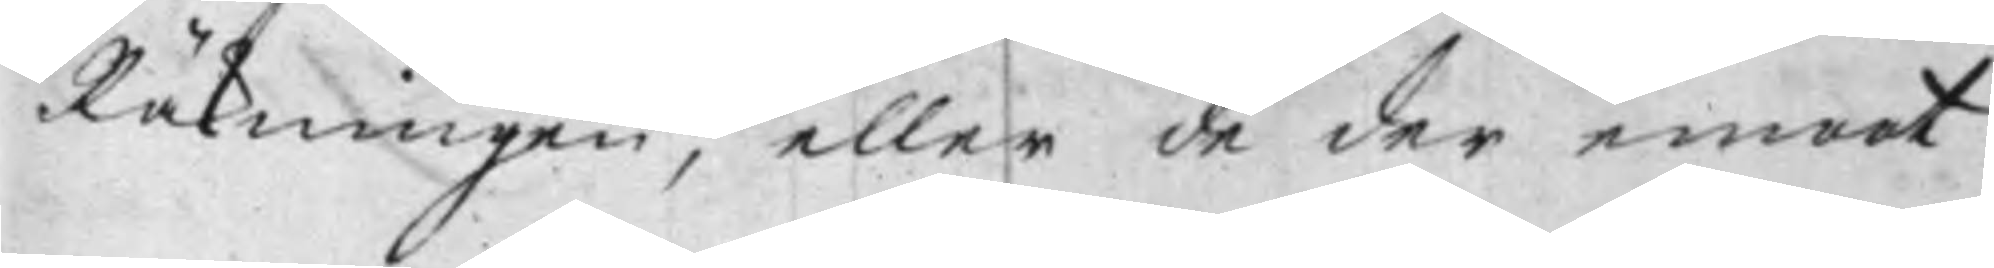Räkningen, eller de der emot
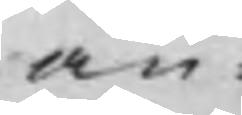an¬
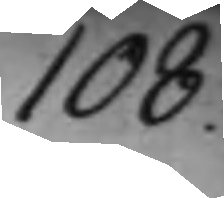108.
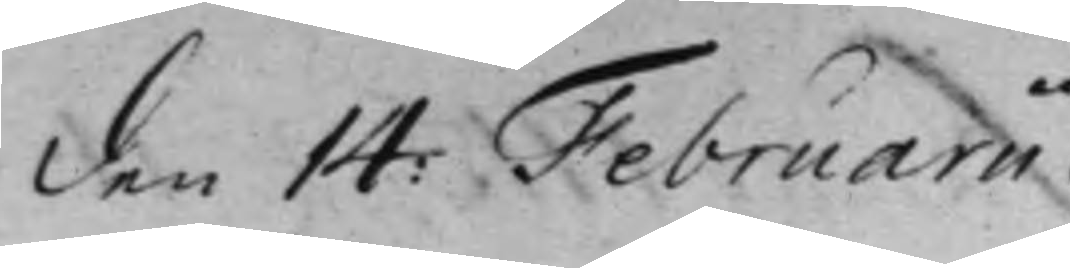den 14: Februarii.
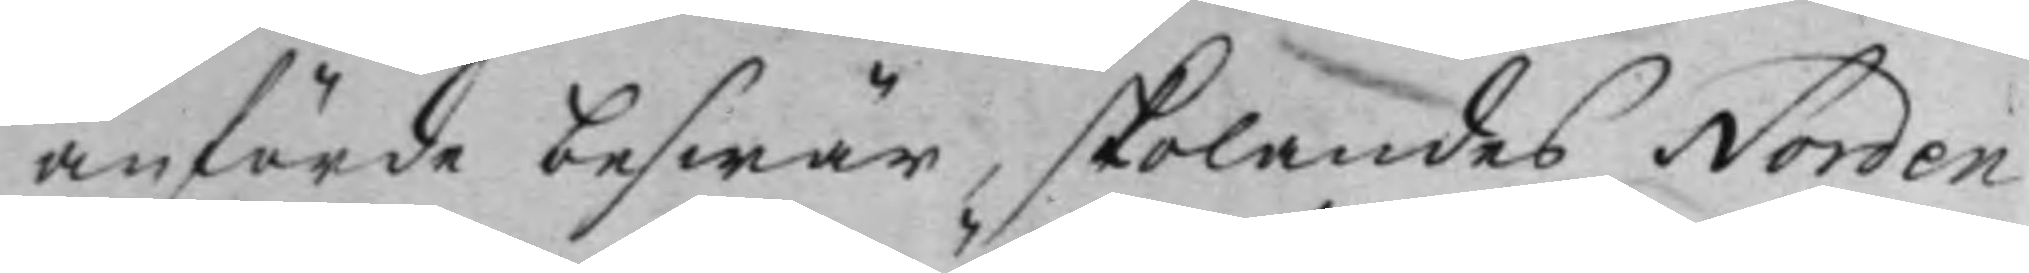anförde beswär, skolandes Norden
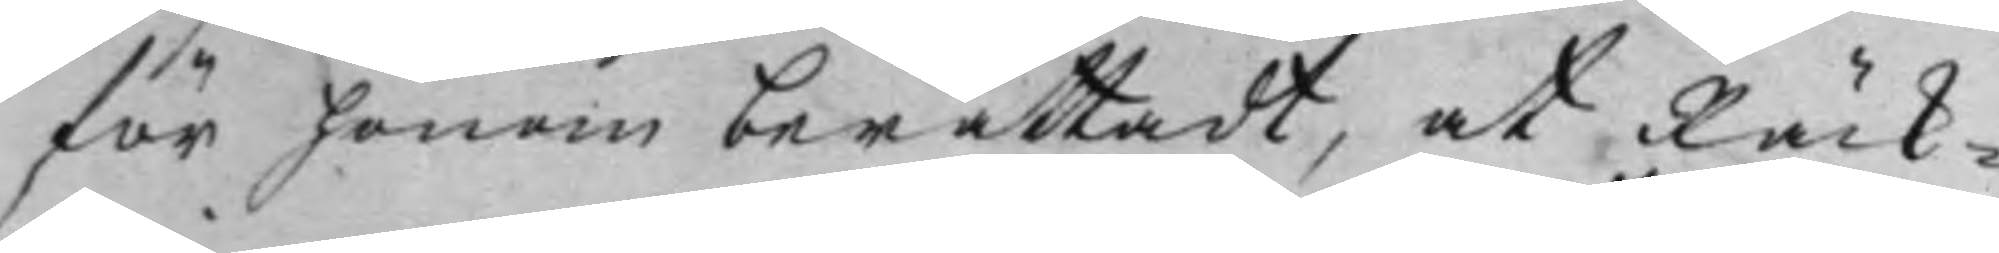för honom berättadt, at Räck¬
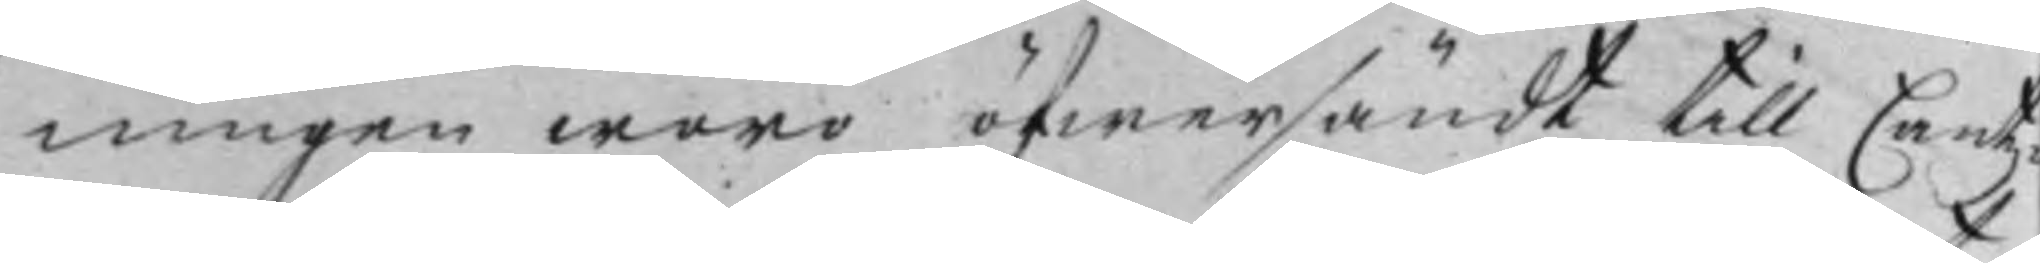ningen woro öfwersändt till Cantz¬
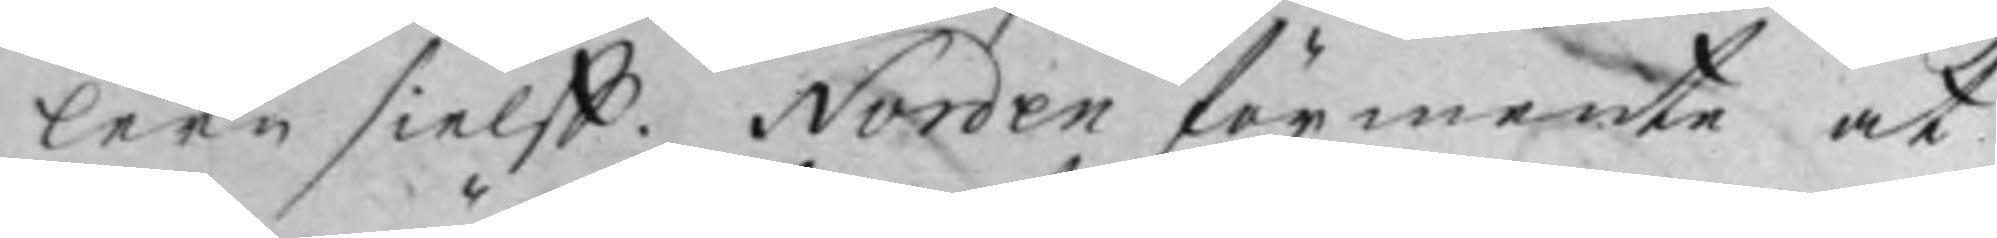lern sielff. Norden förmente at
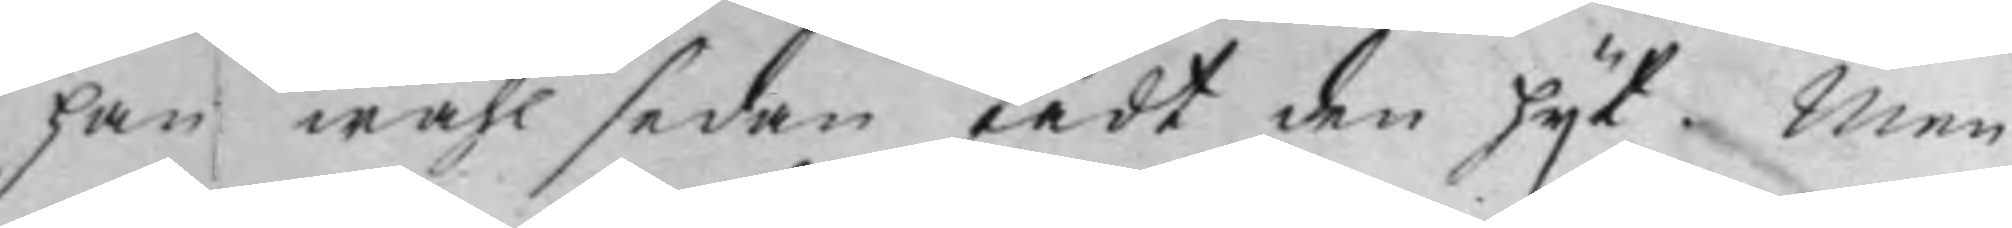han wähl sedan fådt den hijt. Men
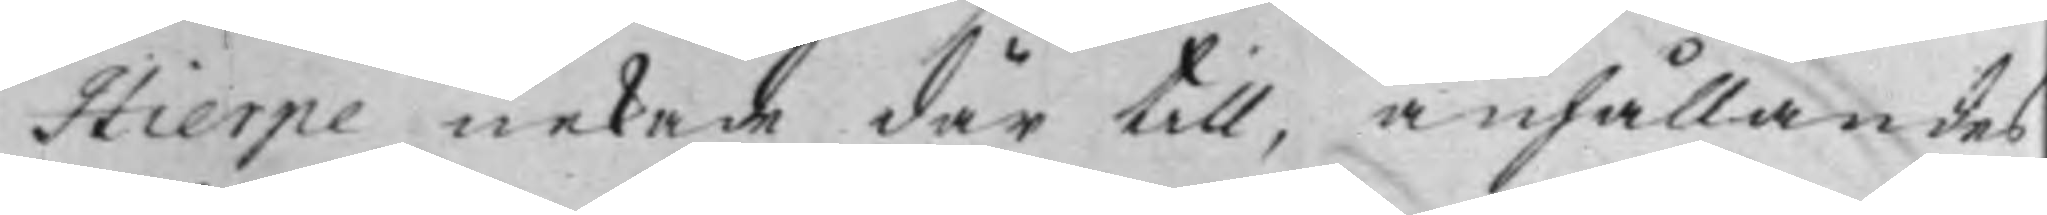Hierpe nekade där till, anhållandes
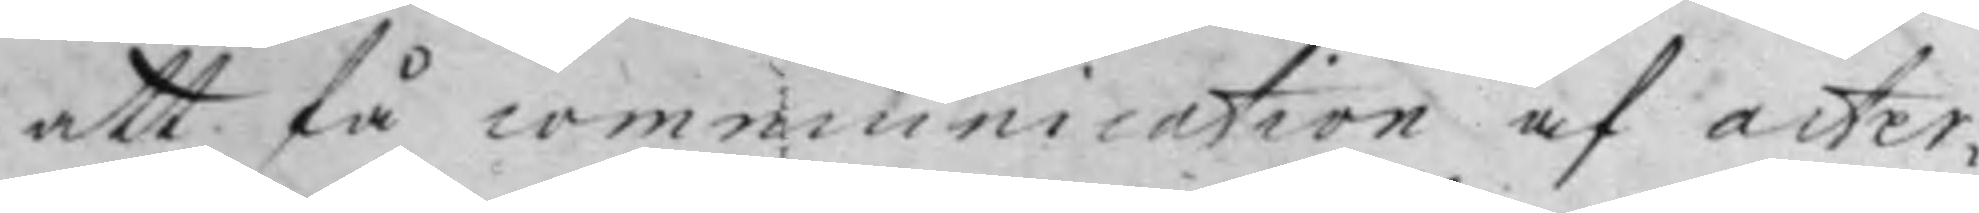att få communication af acter¬
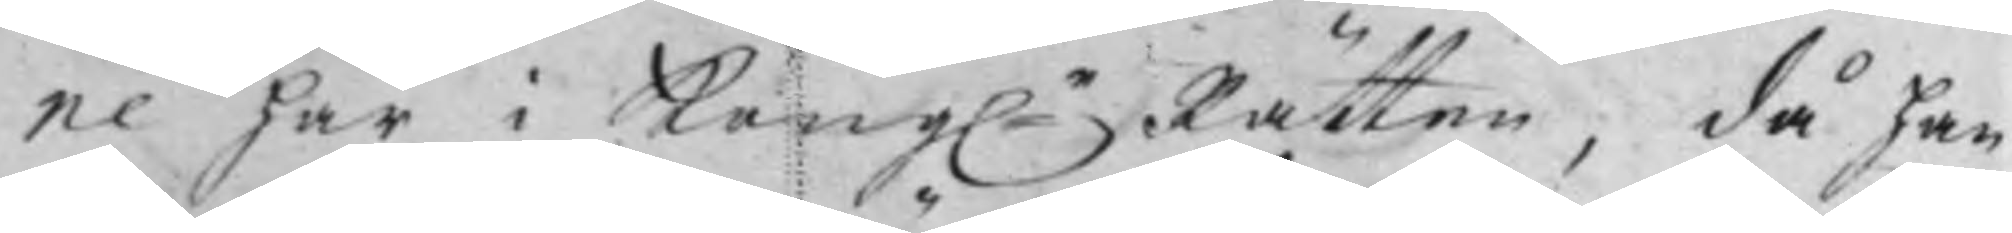ne här i Kongle Rätten, då han
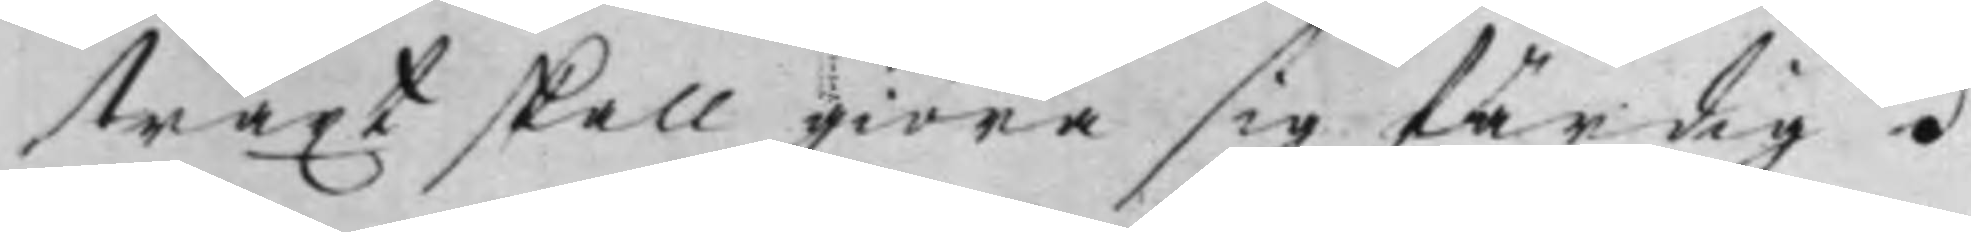straxt skall giöra sig färdig.
